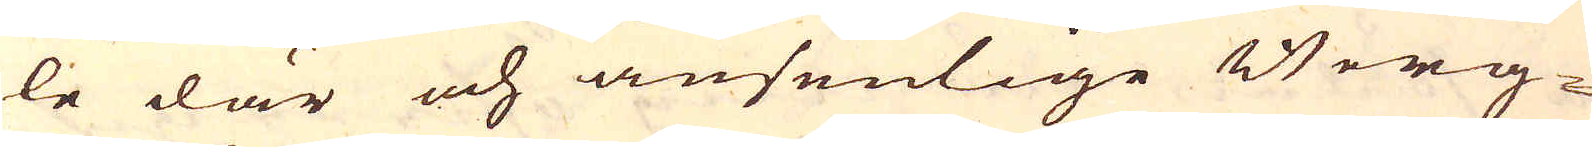le där och ansenlige Berg-
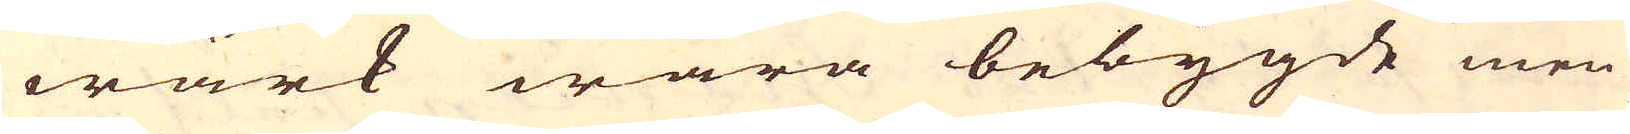wärk wara bebygde men
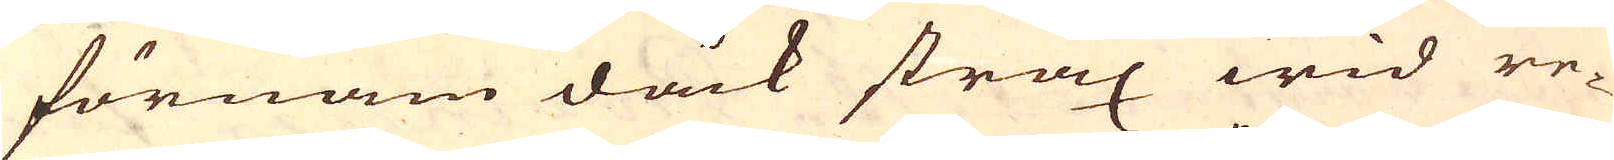förnam dåck strax wid re-
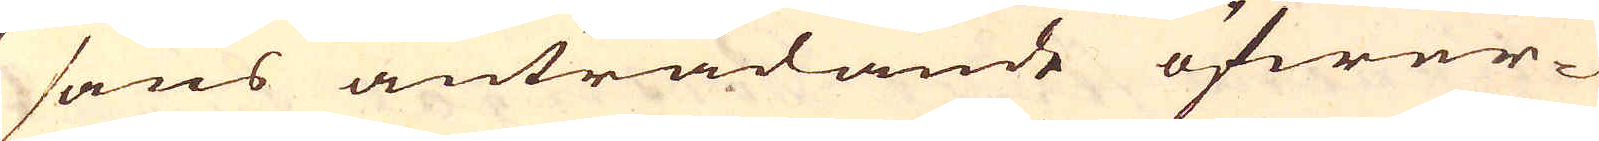sans anträdande öfwer-
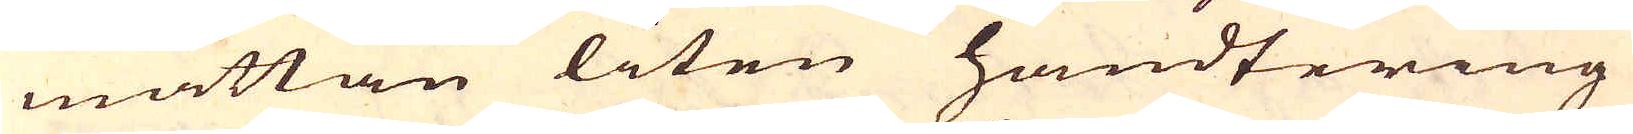måttan liten handtering
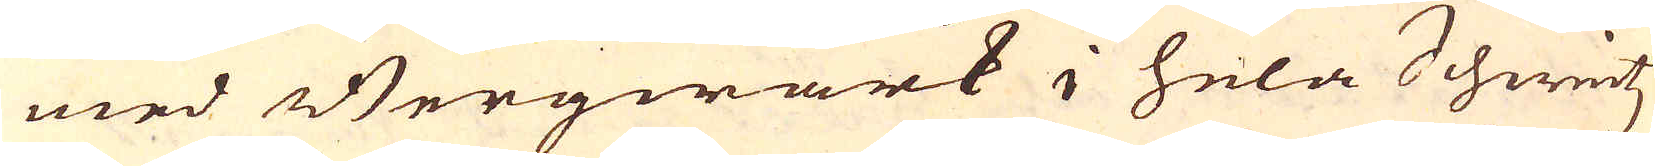med Bergwärk i hela Schweitz
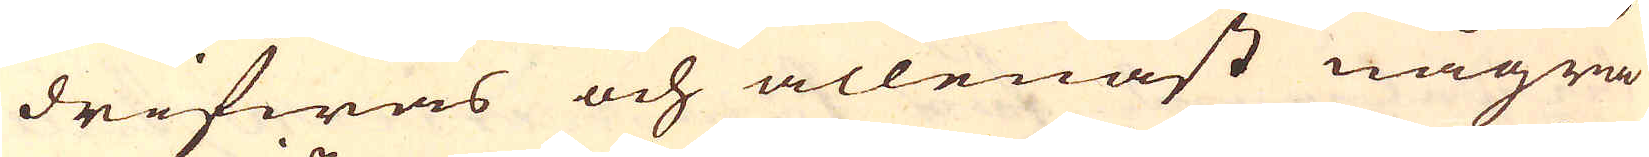drifwas och allenast några
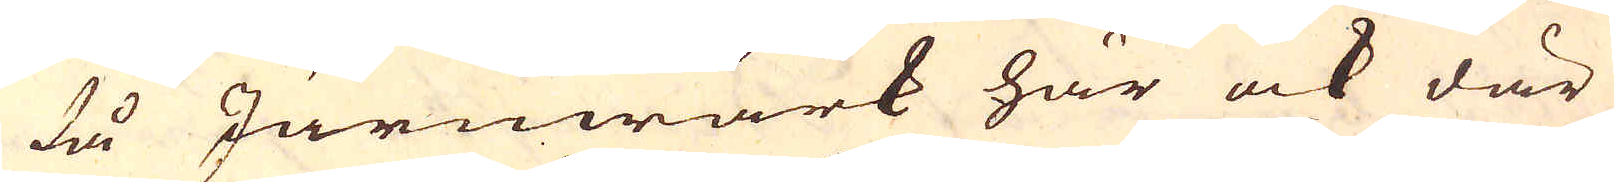få Järnwärk här ock där
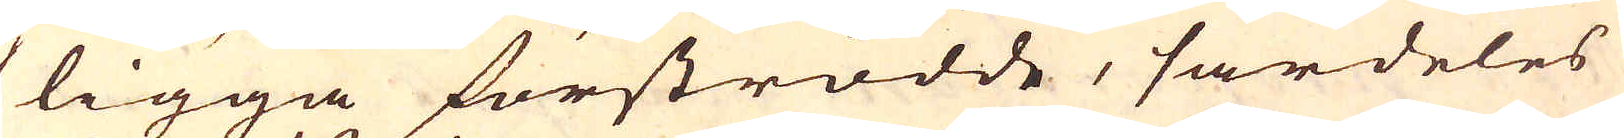ligga förströdde, särdeles
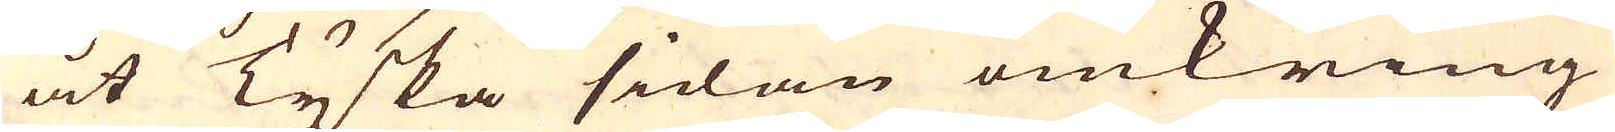åt Tyska sidan omkring
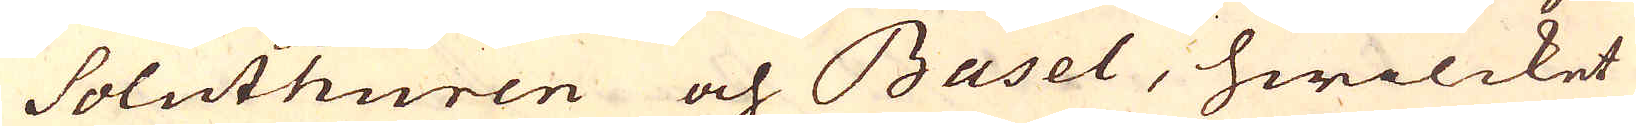Soluthuren och Basel, hwilcket
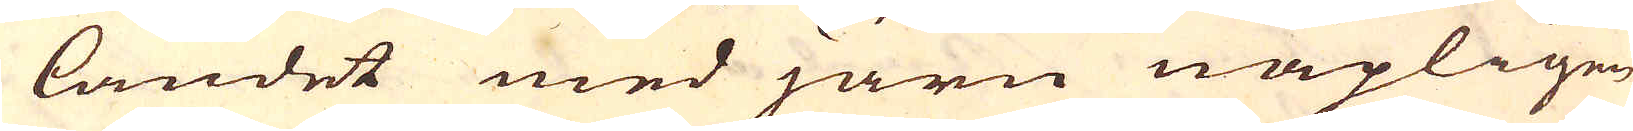landet med järn näpligen
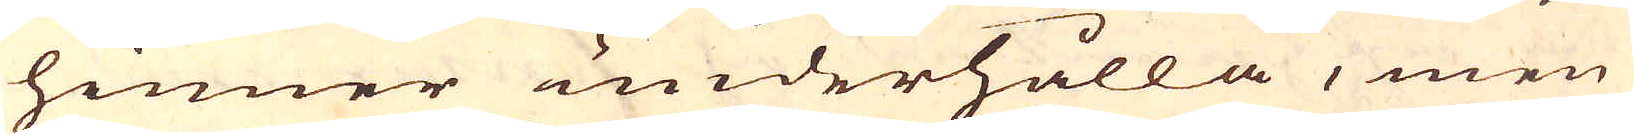hinner underhålla, men
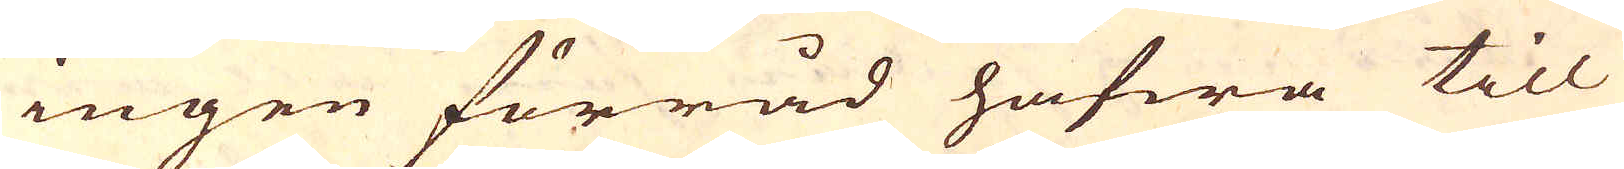ingen förråd hafwa till
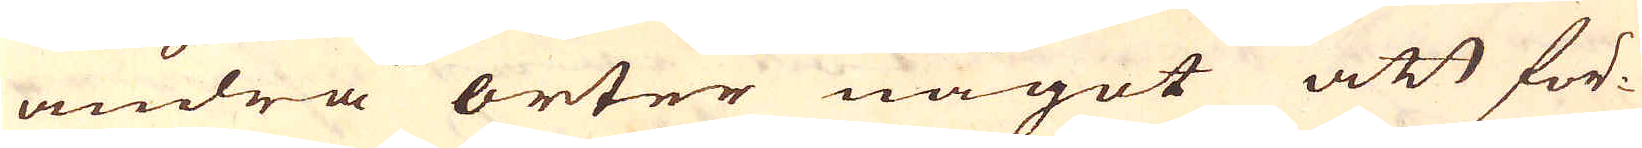andra orter något att för-
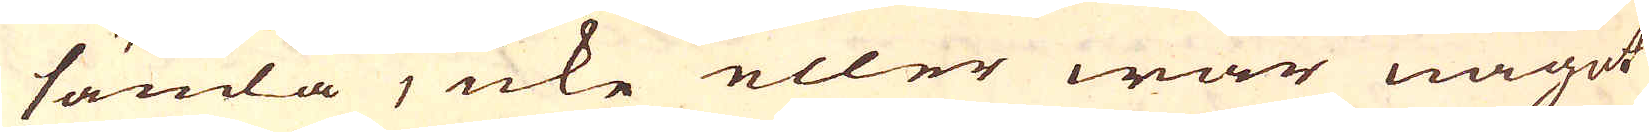sända, icke eller war något
